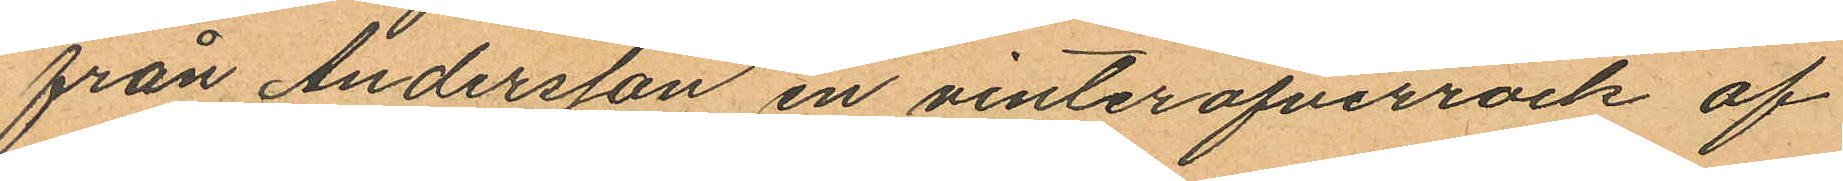från Andersson en vinteröfverrock af
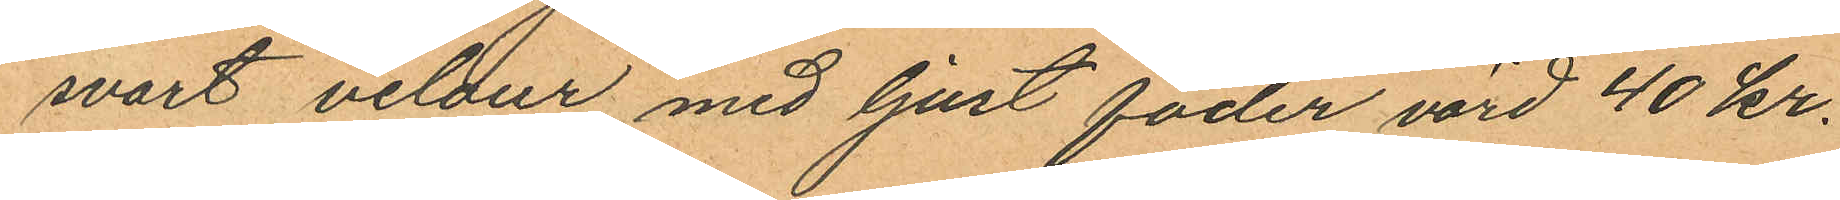swart vilour med ljust foder värd 40 kr.
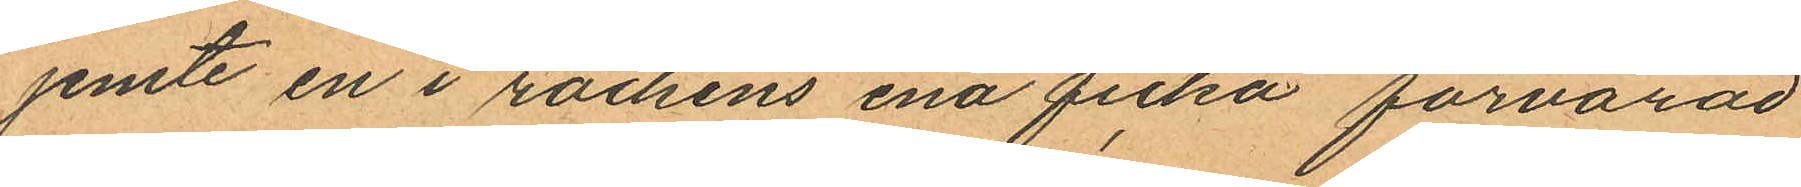jemte en i rockens ena ficka förvarad
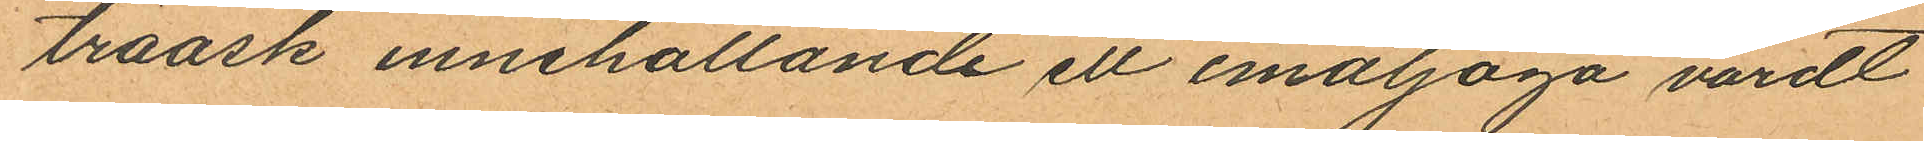träask innehållande ett emaljöga värdt
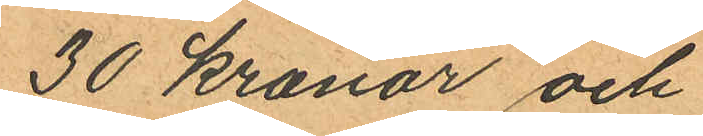30 kronor och
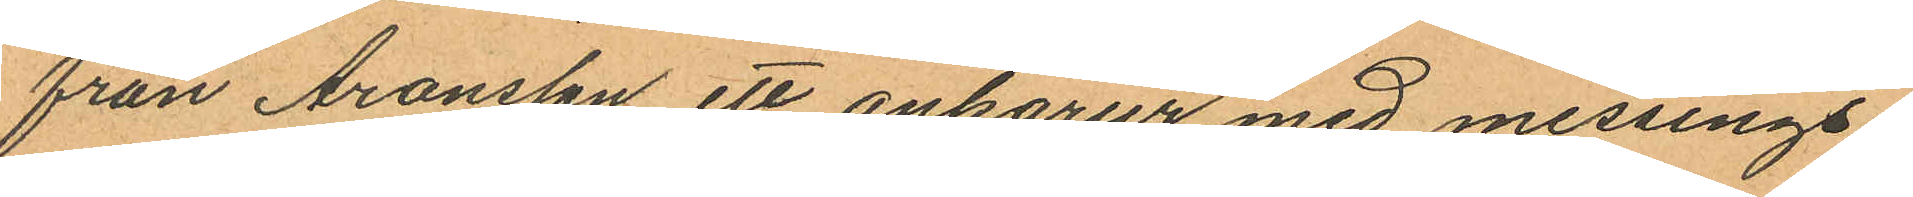från Aronsson ett ankarur med messings¬
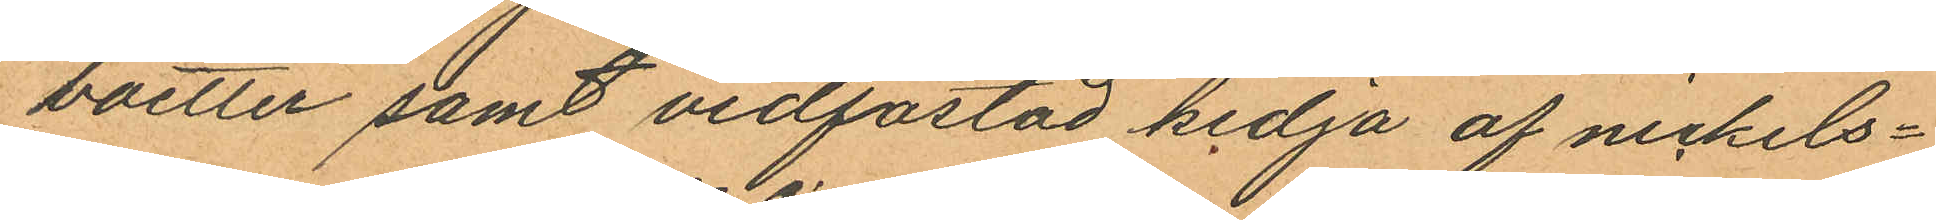boetter samt vidfästad kedja af nickels¬
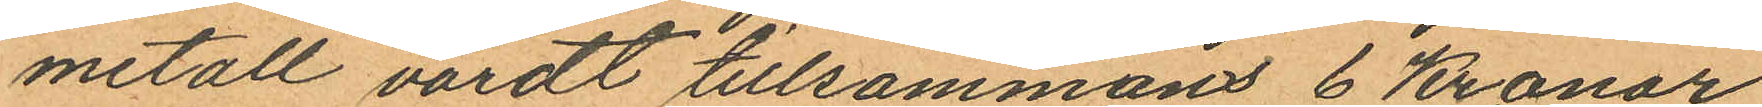metall värdt tillsammans 6 Kronor,
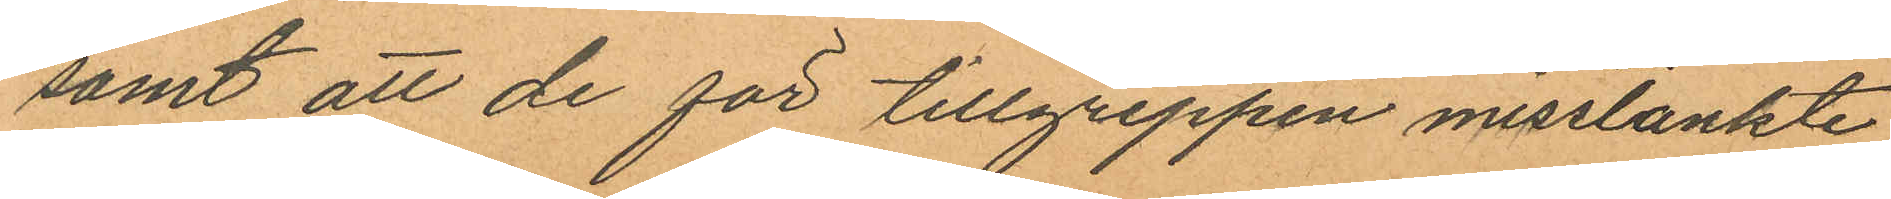samt att de för tillgreppen misstänkte
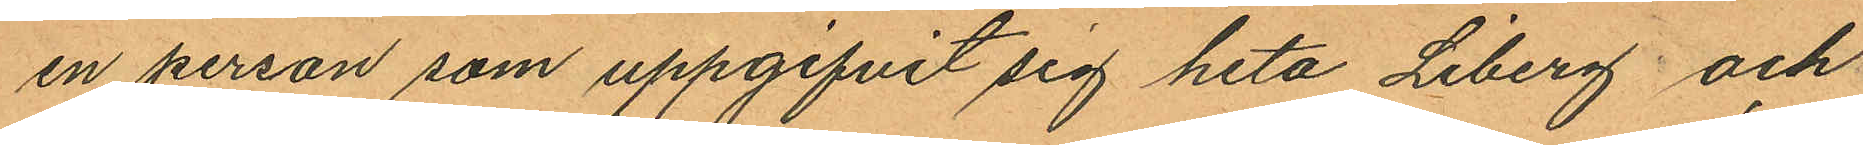en person som uppgifvit sig heta Liberg och
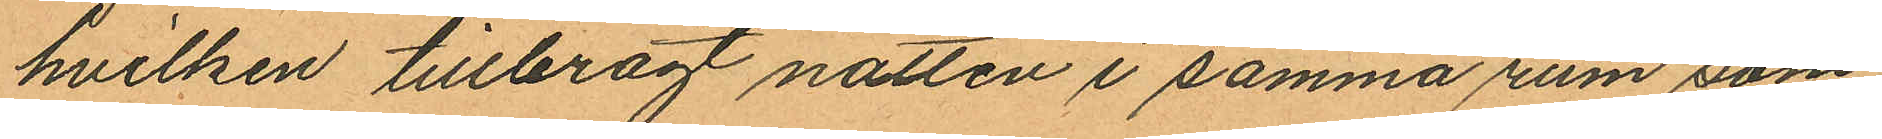hvilken tillbragt natten i samma rum som
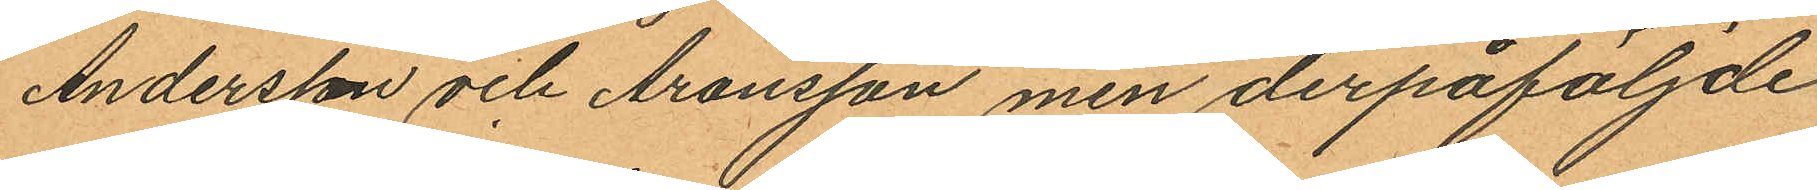Andersson och Aronsson men derpåföljde
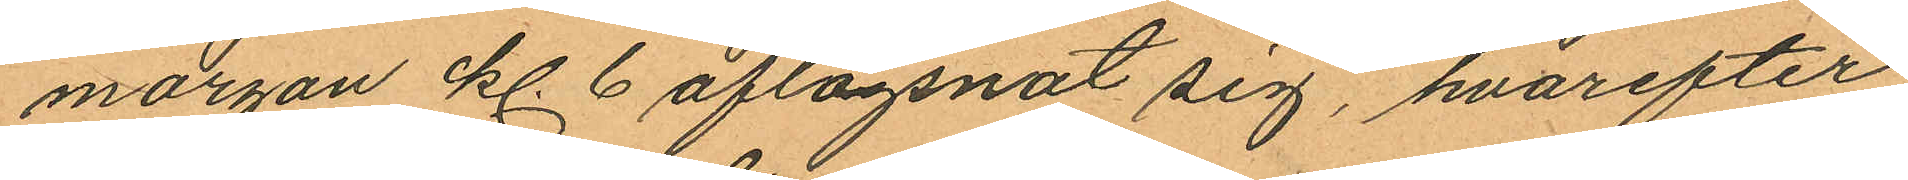morgon kl. 6 aflägsnat sig, hvarefter
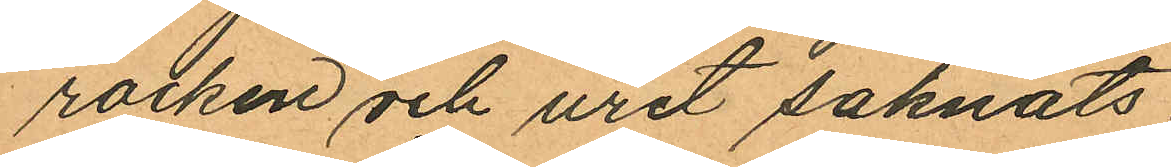rocken och uret saknats.
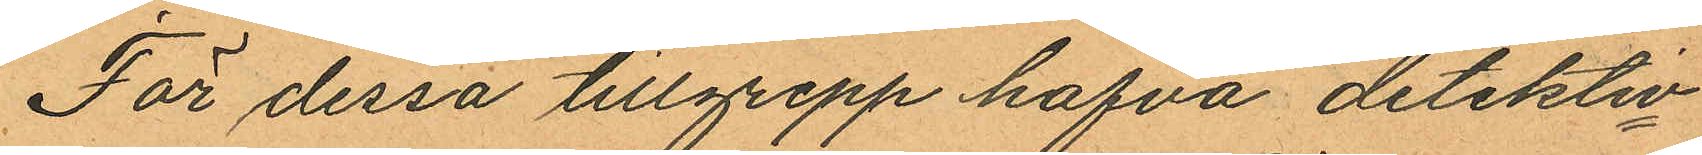För dessa tillgrepp hafva detektiv¬
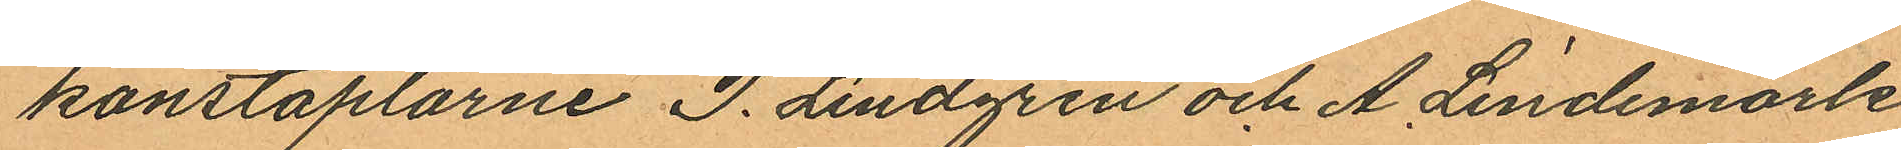konstaplarne P. Lindgren och A. Lindemark
